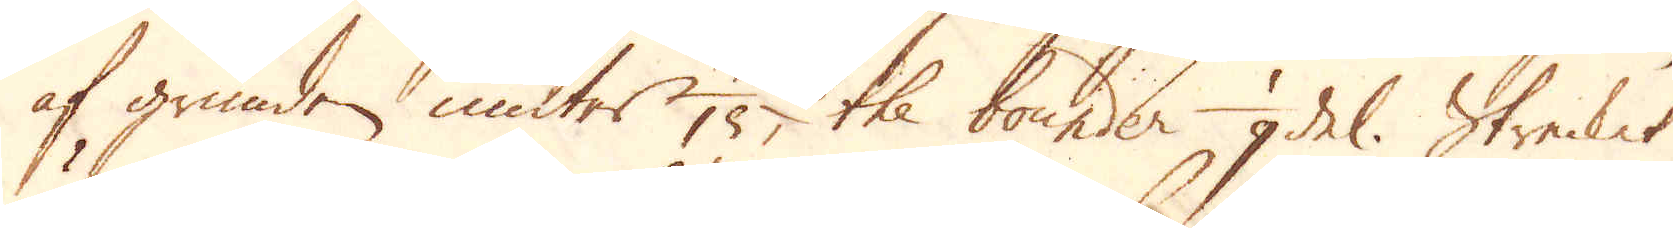af grunden, niuter 1/15, the bounder 1/9 del. Strecket
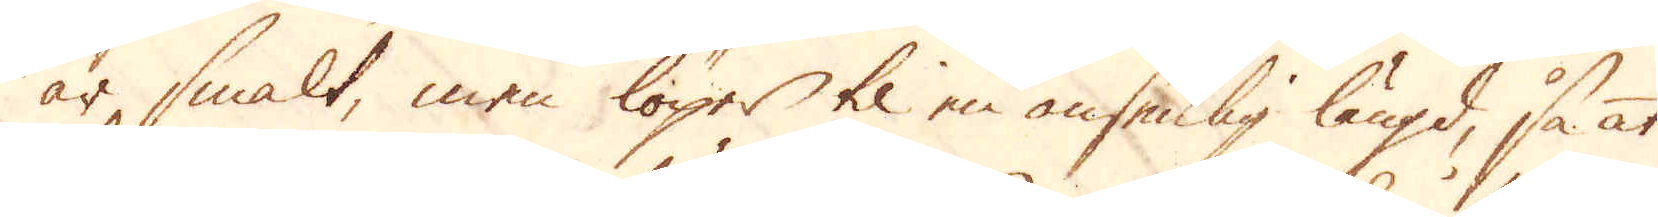är smalt, men löper til en ansenlig längd, så at
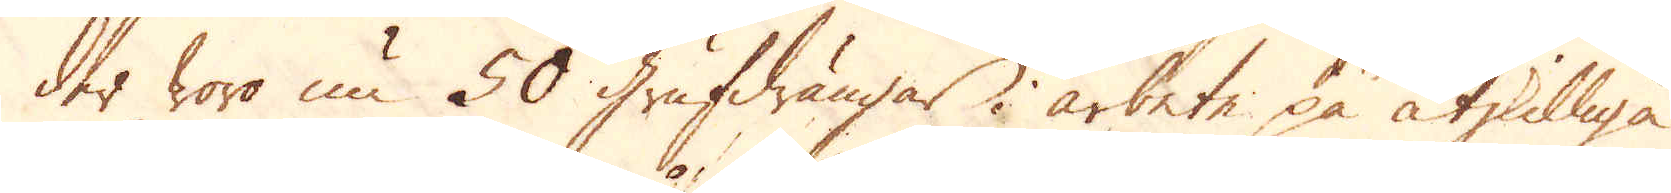der woro nu 50 Grufdrängar i arbete på åtskilliga
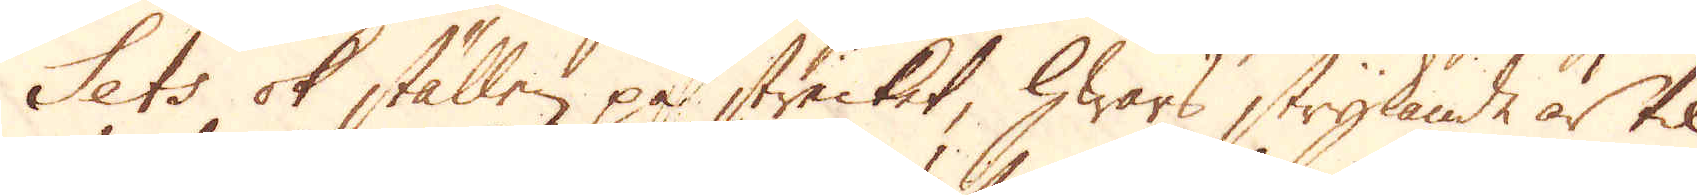Sets ok ställen på strecket, hwars strykande är til
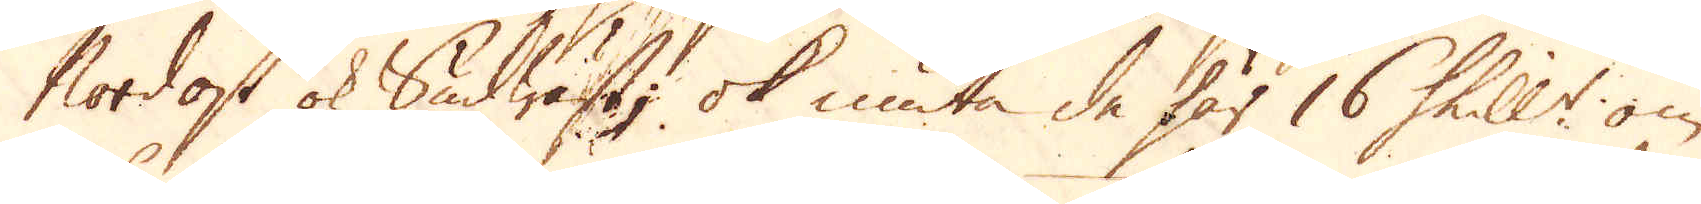Nordost ok Sudwäst, ok niuta de här 16 Skill:r om
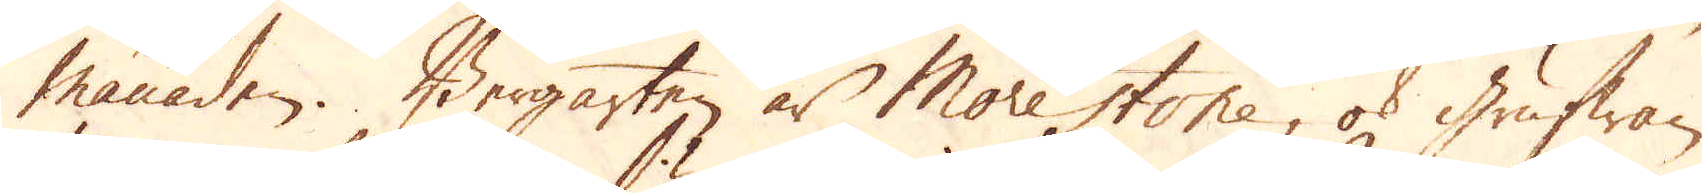månaden. Bergarten är More stone, ok grufwan
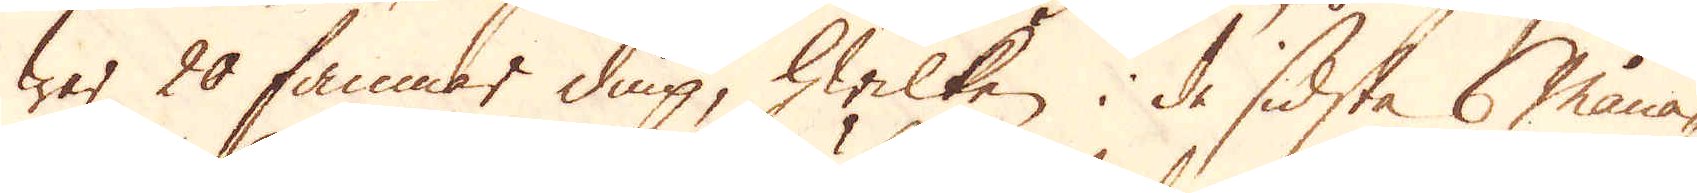war 20 famnar diup, hwilken i de sidsta 6 måna-
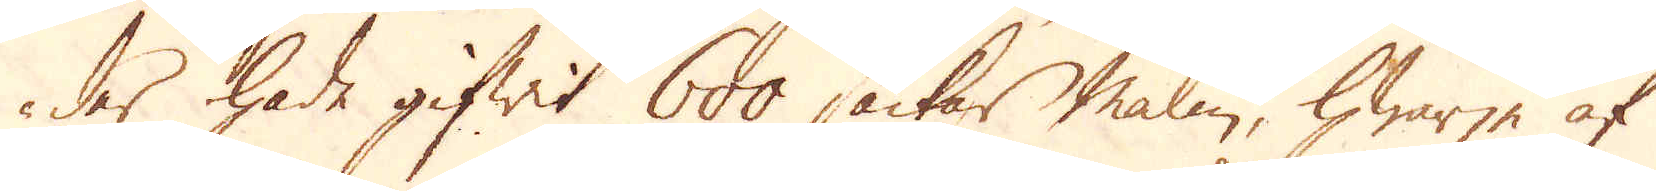der hade gifwit 600 säckar malm, hwarje af
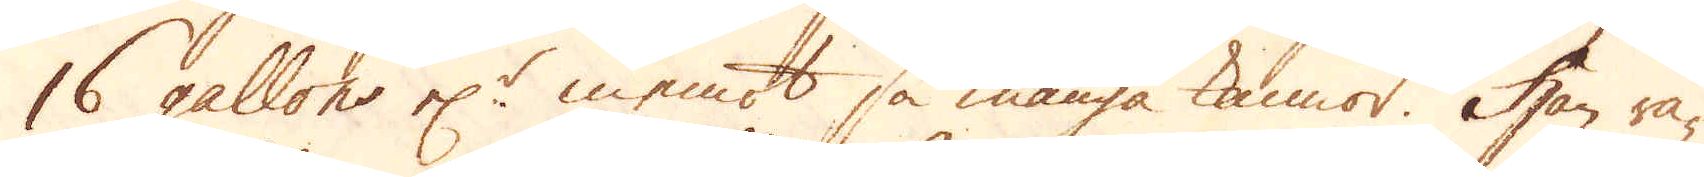16 gallons el:r inemot så många kannor. Han rä-
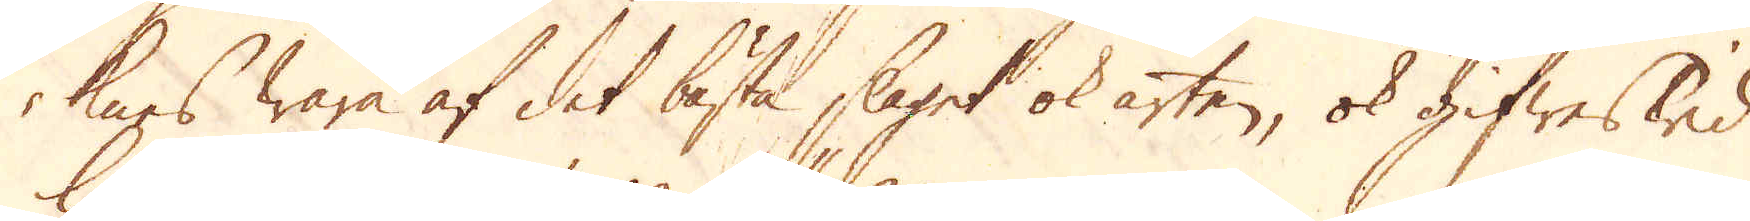knes wara af det bästa slaget ok arten, ok gifwes wid
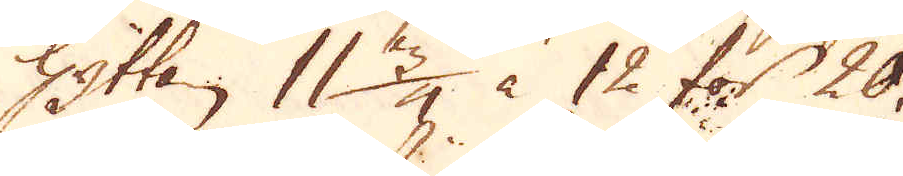Hyttan 11 3/4 à 12 för 20.
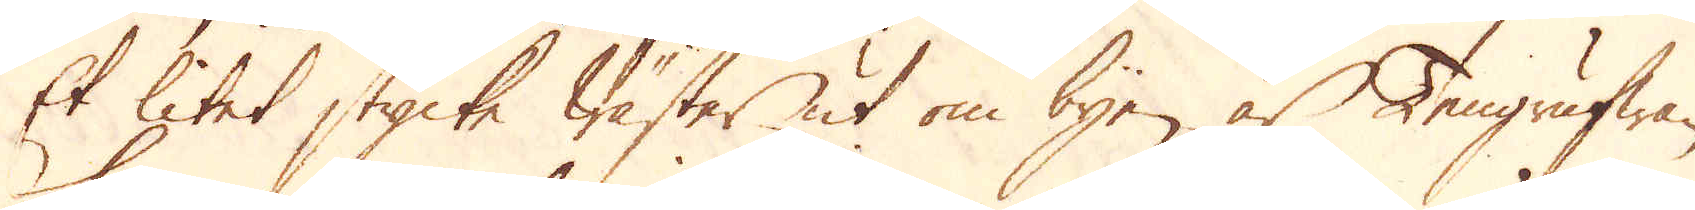Et litet stycke Wäster ut om byen är Tengrufwan
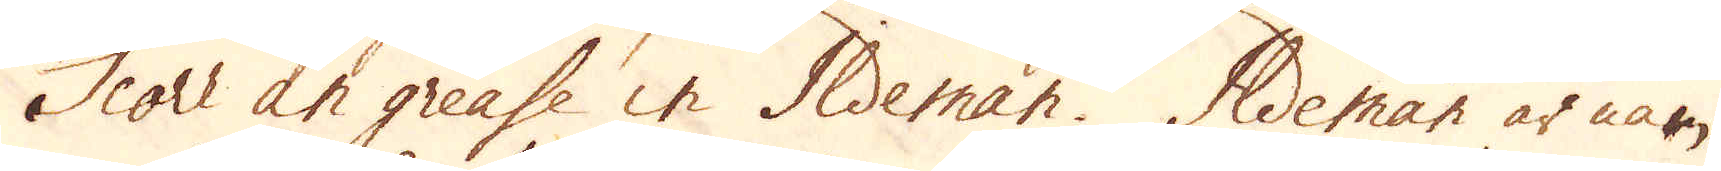Score an greasse in Ildeman. Ildeman är nam-
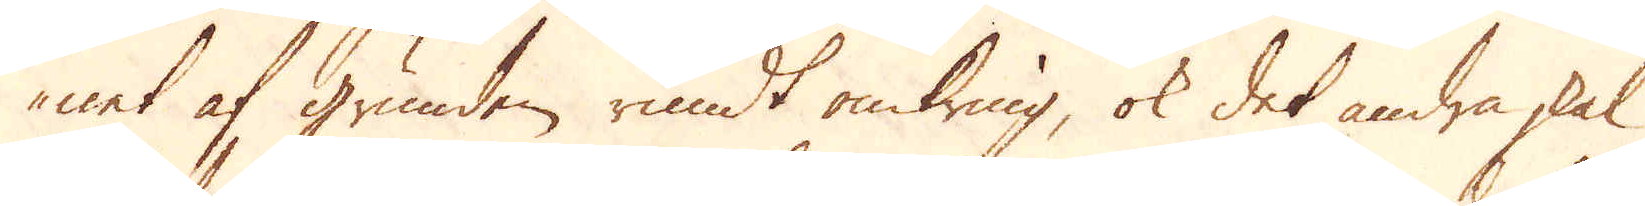net af grunden rundt omkring, ok det andra skal
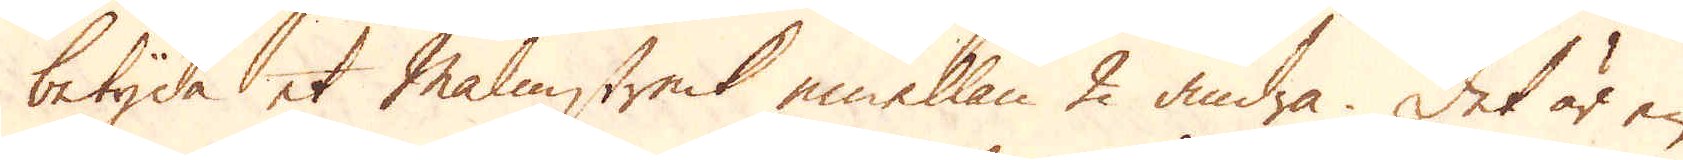betyda et Malmstreck emellan 2 andra. Det är en
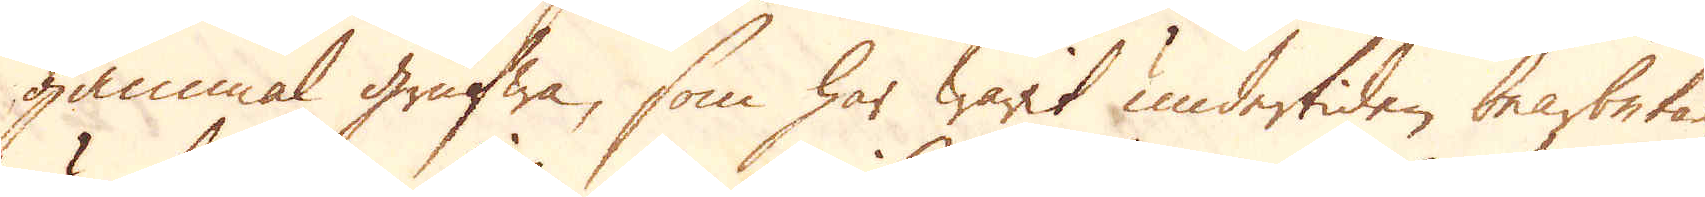gammal grufwa, som har warit undertiden bearbetad,
